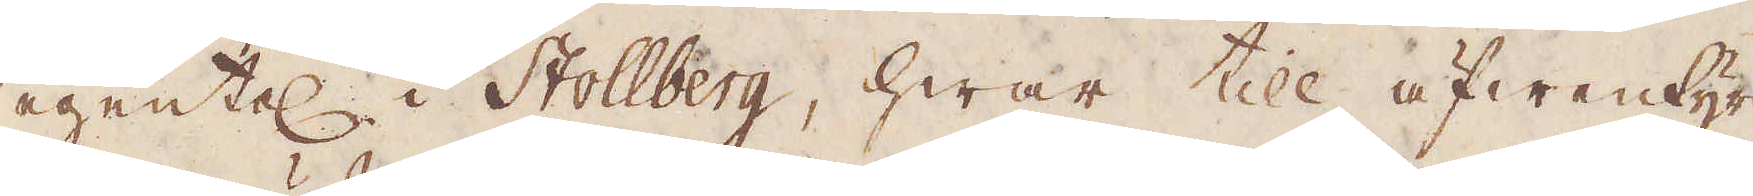egentel i Stollberg, hwar till äfwentyrs
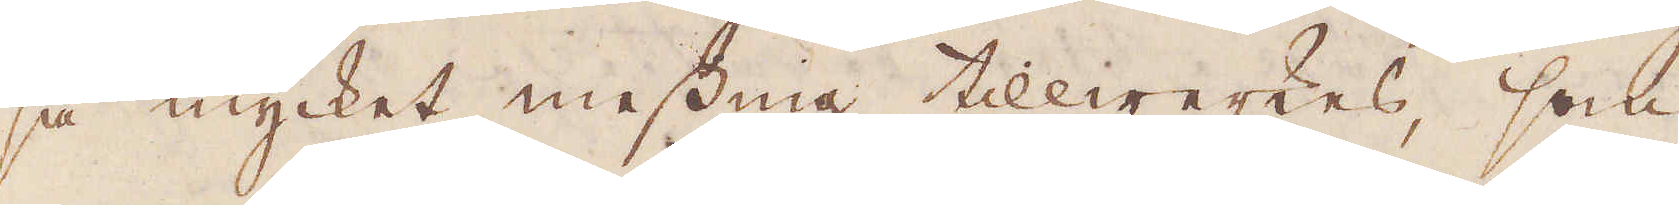så mycket messing tillwerkes, som
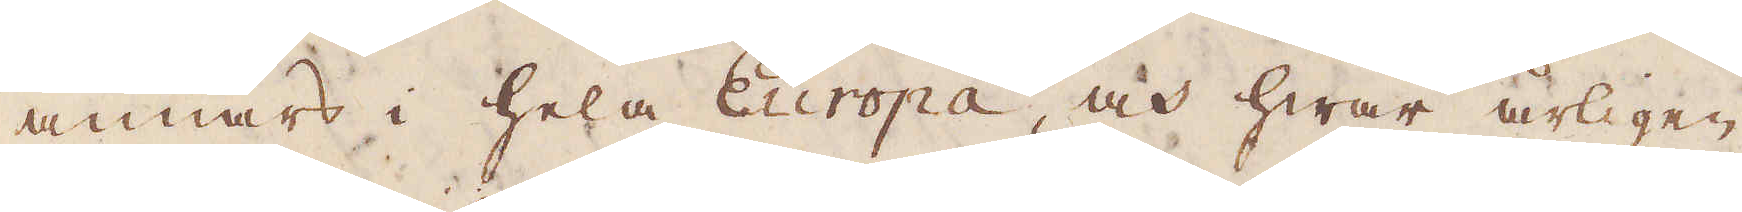annars i hela Europa och hwar årligen
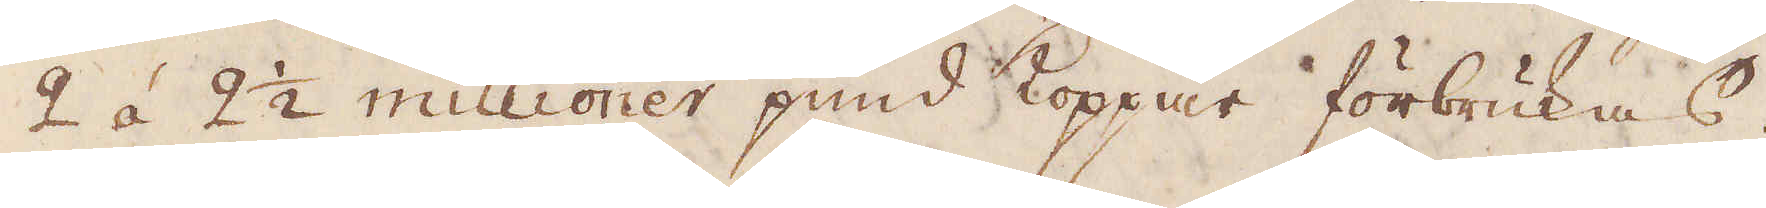2 á 2 1/2 millioner pund Koppar förbrukas.
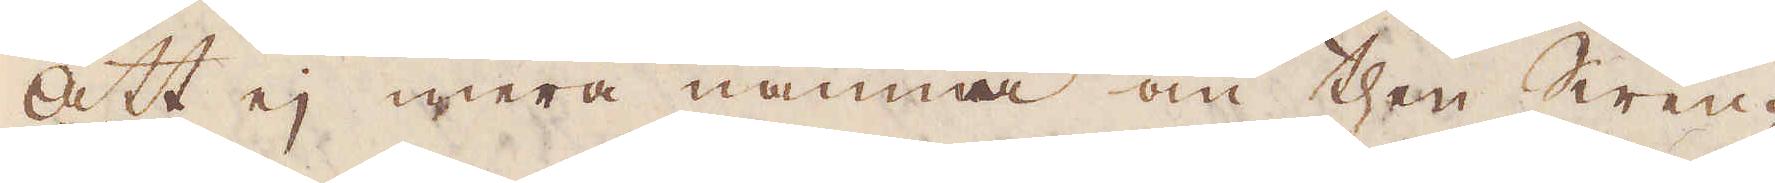Att ej mera nämna om then Swen-
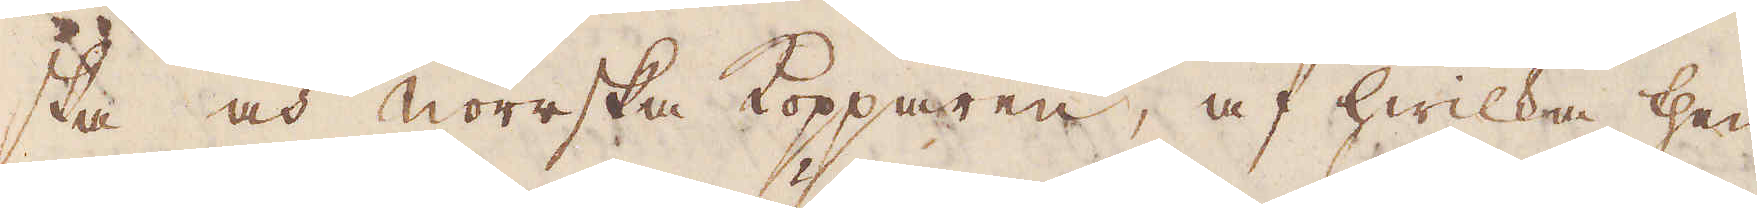ska och Norrska Kopparen, af hwilka then
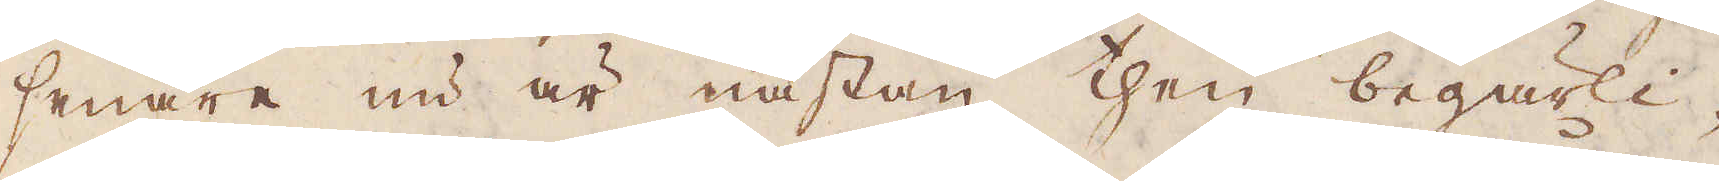senare nu är nästan then begärli-
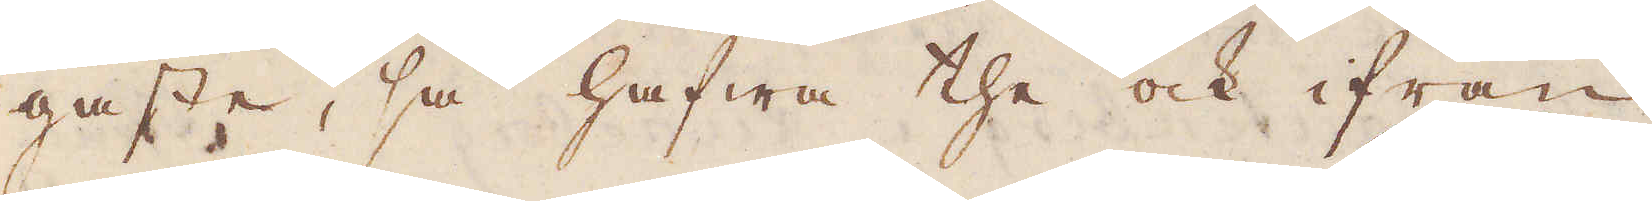gaste, så hafwa the ock ifrån
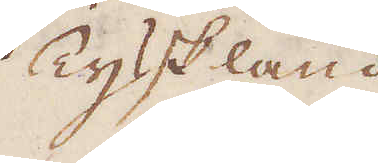Tyskland
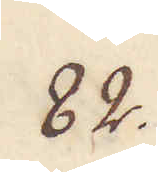82.
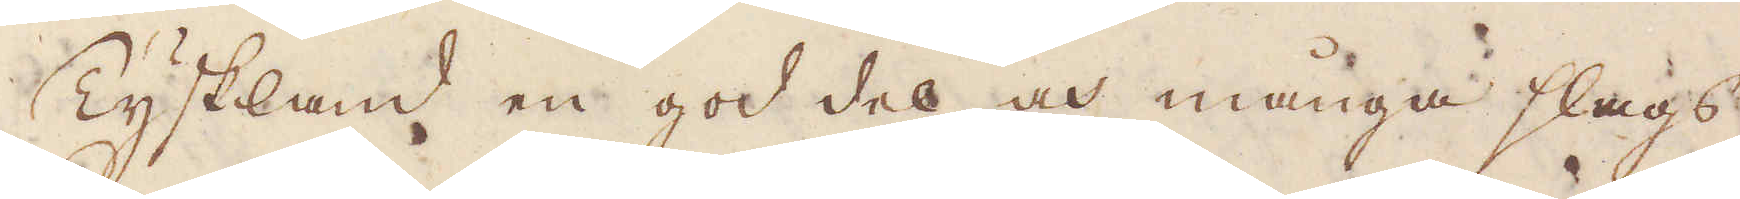Tyskland en god del och många slags
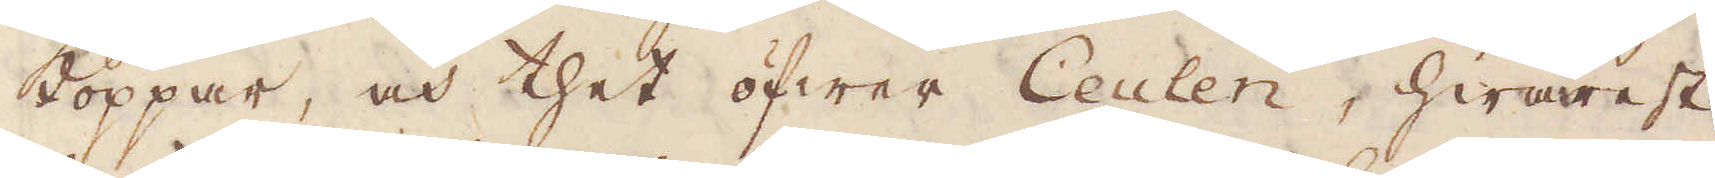koppar, och thet öfwer Ceulen, hwarest
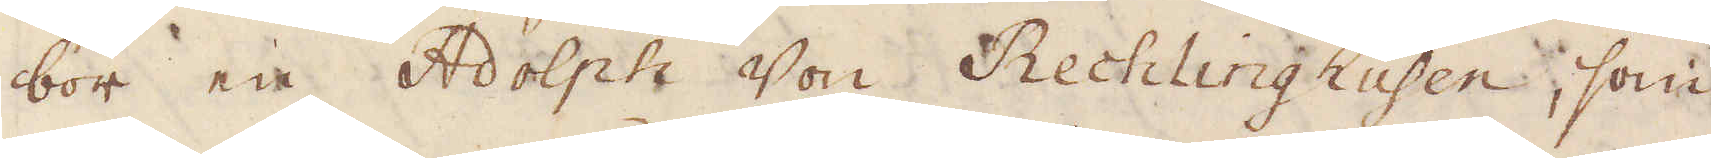bor en Adolph Von Rechlinghusen, som
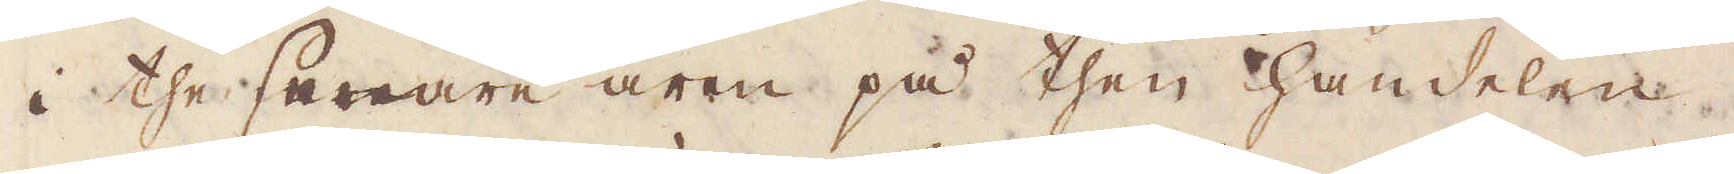i the senare åren på then handelen
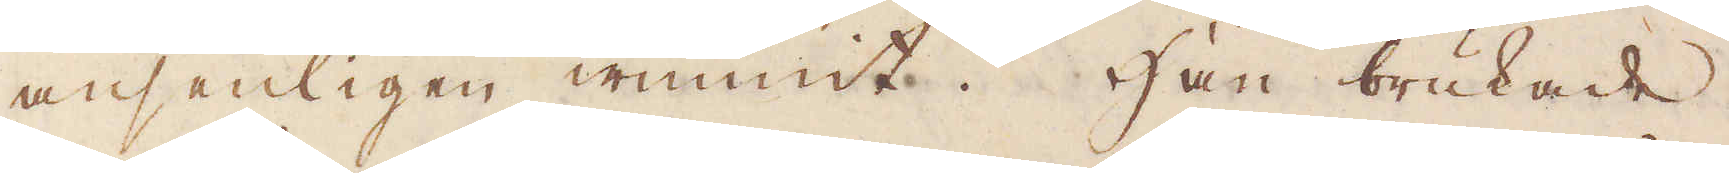ansenligen wunnit. Han brukade
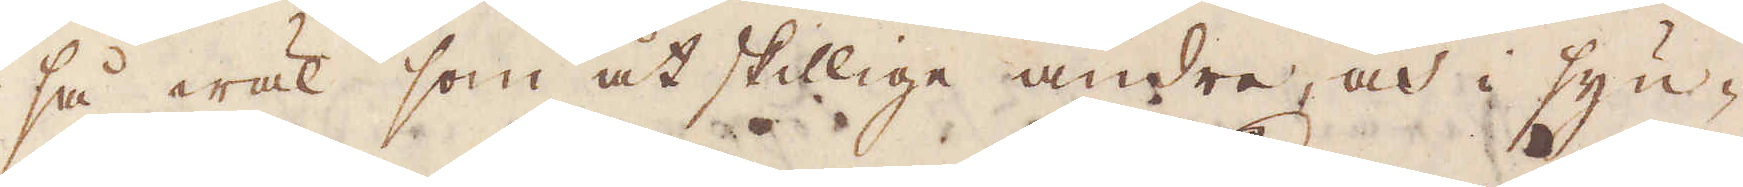så wäl som åtskillige andre, och i syn-
